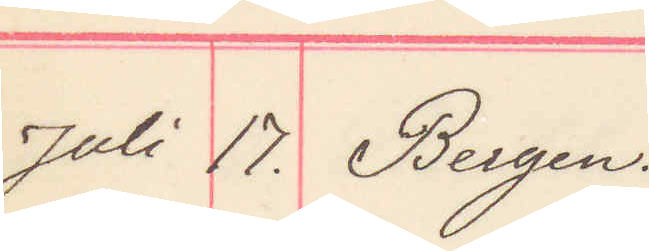Juli 17. Bergen
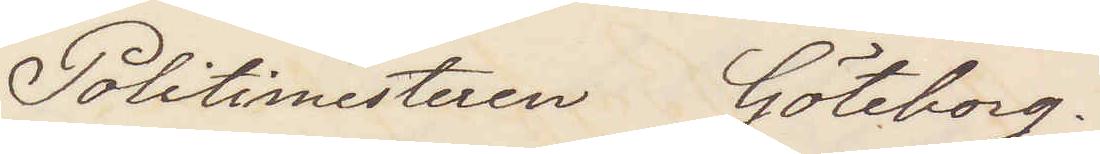Politimesteren Göteborg.
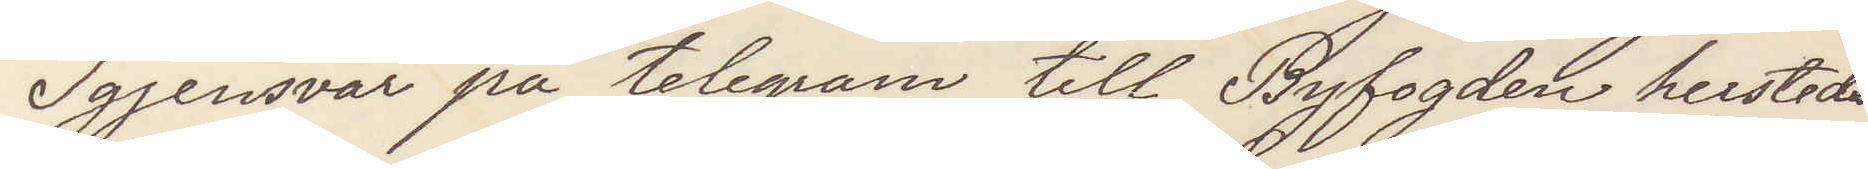Igjensvar på telegram til Byfogden hersteds
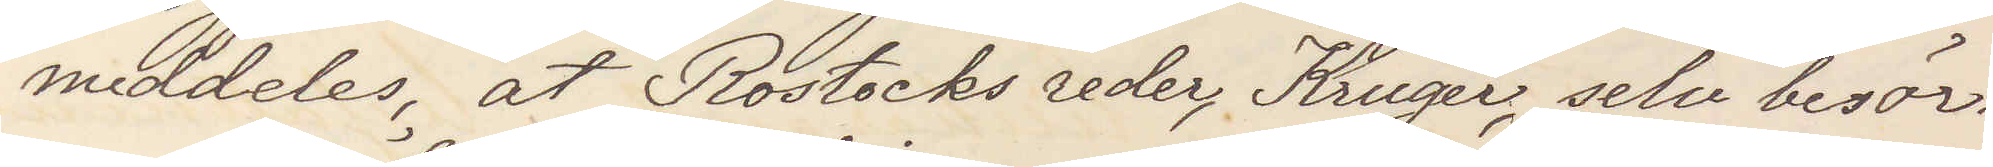meddeles att Rostocks reder, Kruger, selv besör¬
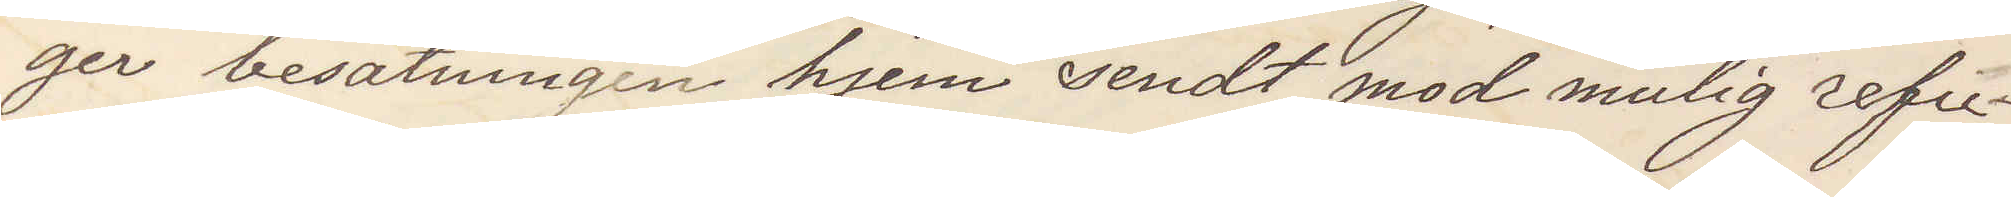ger besätningen hjem sendt mod mulig refu¬
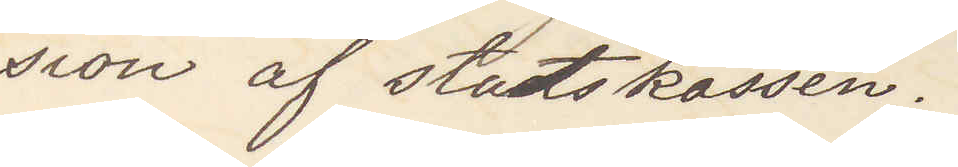sion af statskassen.
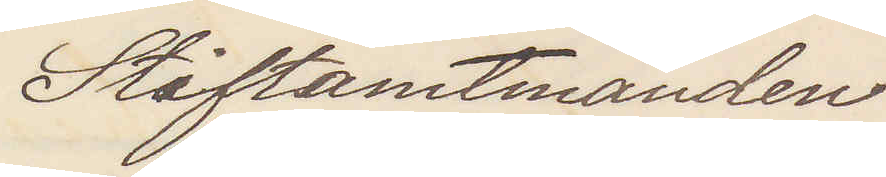Stiftsamtmanden
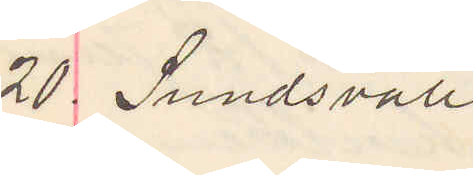20 Sundsvall
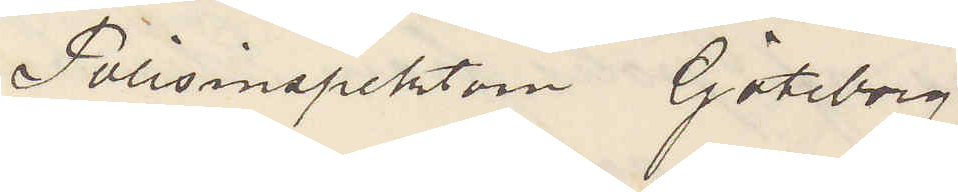Polisinspektorn Göteborg.
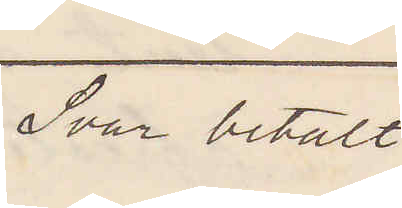Svar betalt
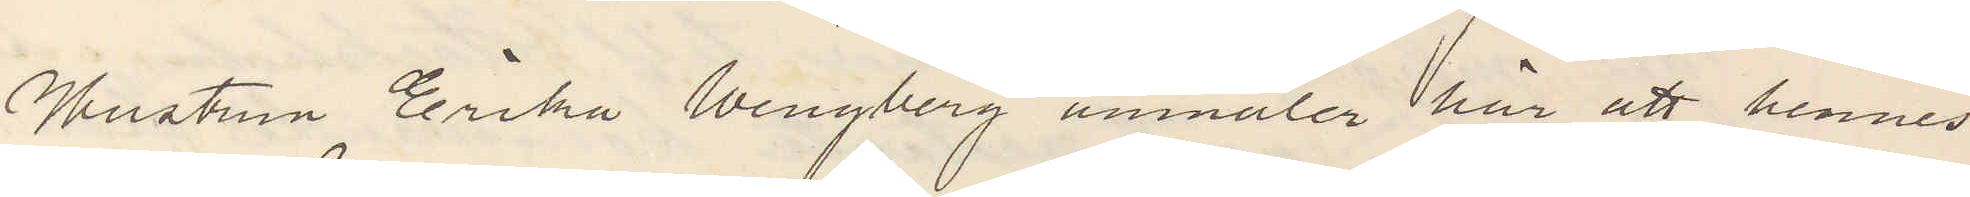Hustrun Erika Wengberg anmäler här att hennes
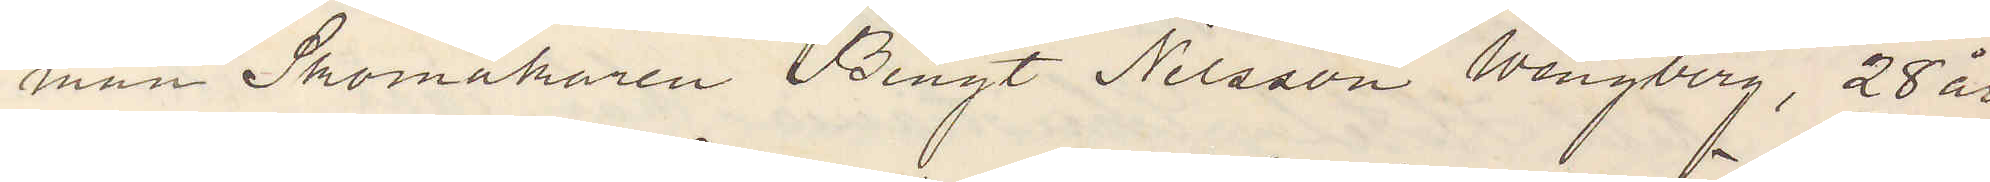man Skomakaren Bengt Nilsson Wengberg, 28 år,
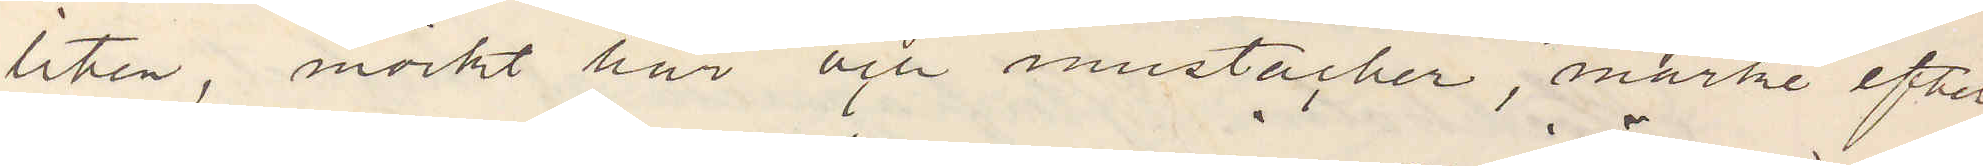liten, mörkt hår och mustacher, märke efter
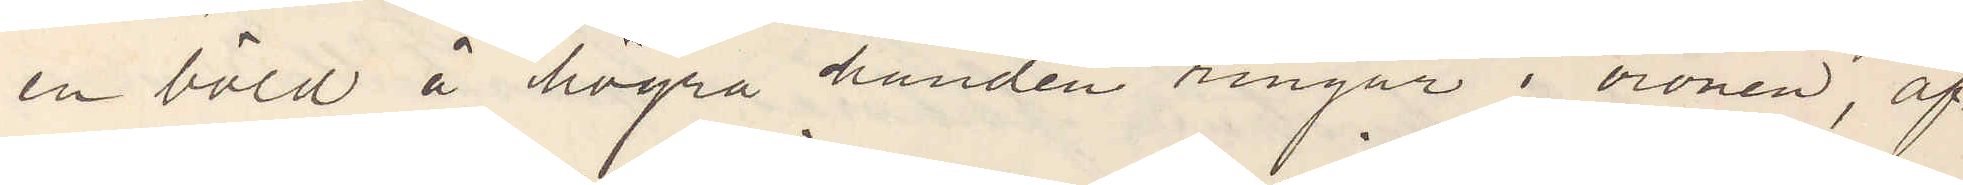en böld å högra handen ringar i öronen, af¬
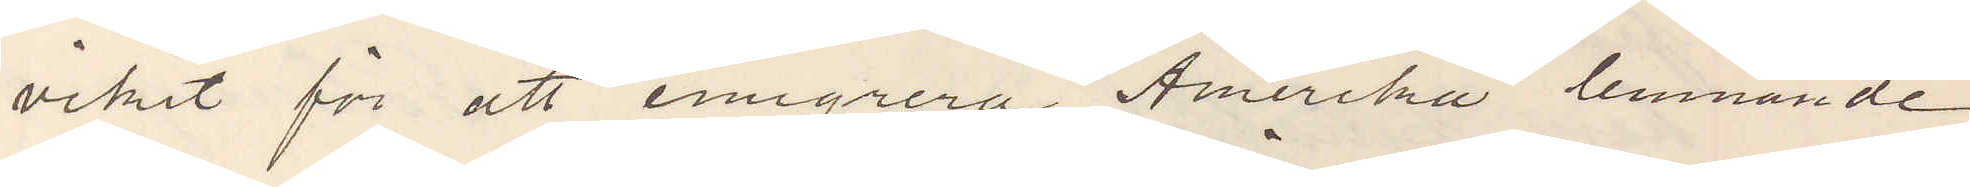vikit för att emigrera Amerika lemnade
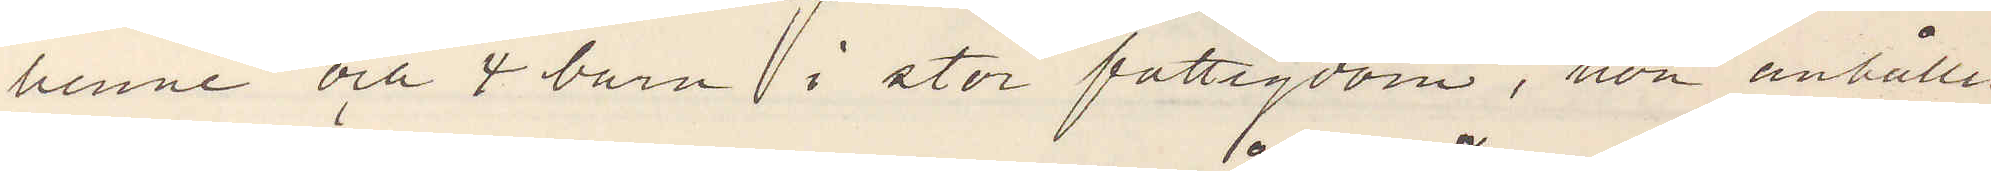henne och 4 barn i stor fattigdom, hon anhåller
